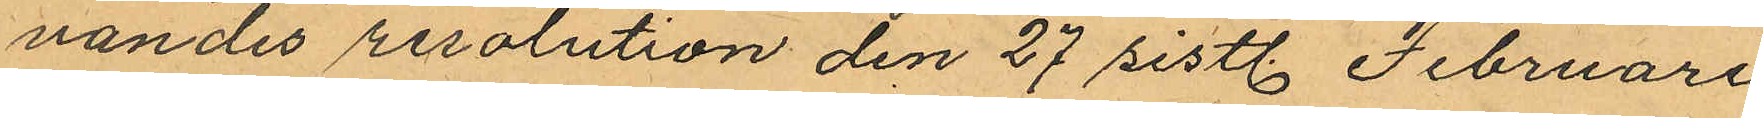vandes resolution den 27 sistl. Februari
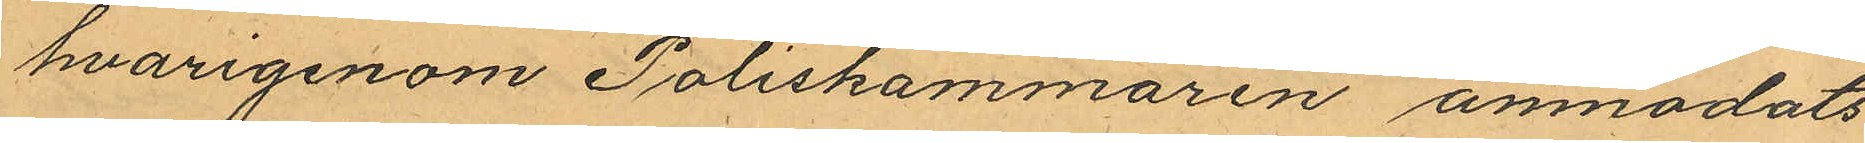hvarigenom Poliskammaren anmodats
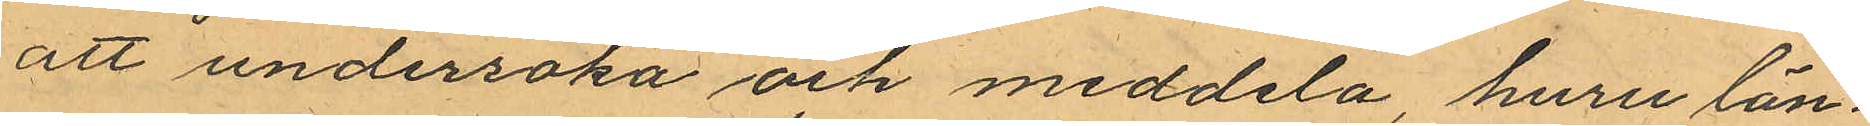att undersöka och meddela, huru län¬
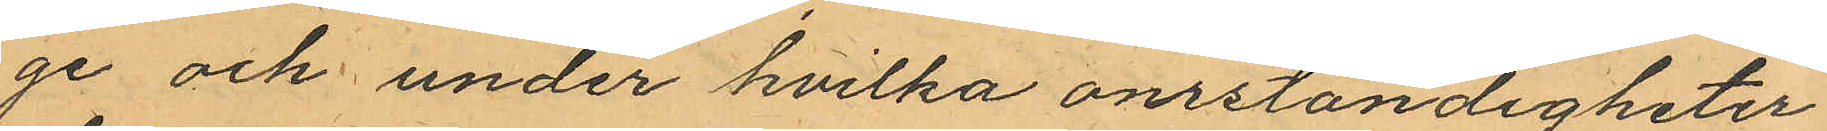ge och under hvilka omständigheter
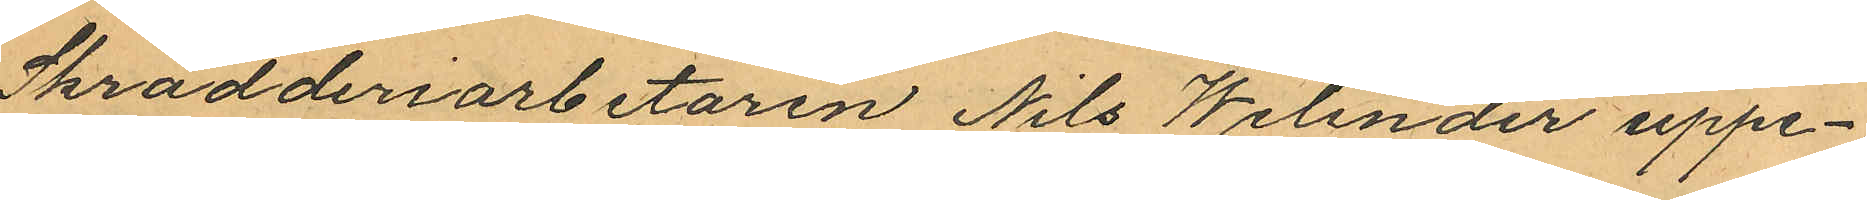Skrädderiarbetaren Nils Welinder uppe¬
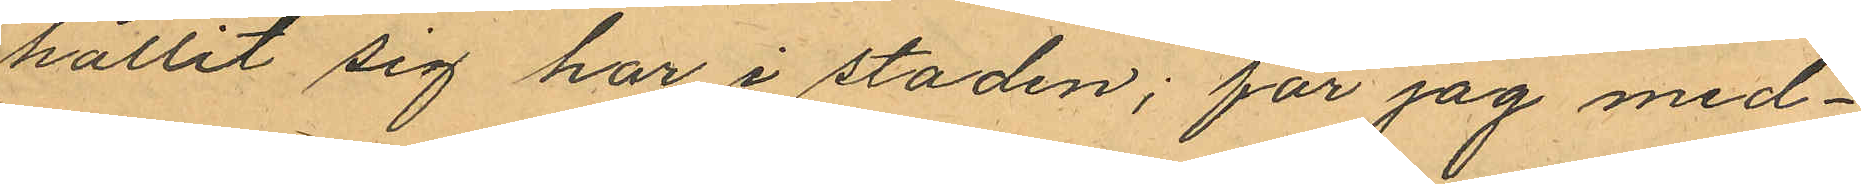hållit sig har i staden; får jag med¬
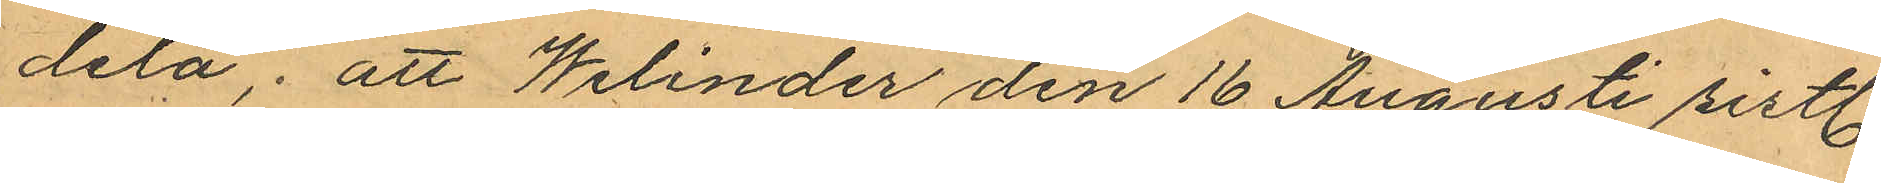dela, att Welinder den 16 Augusti sistl.
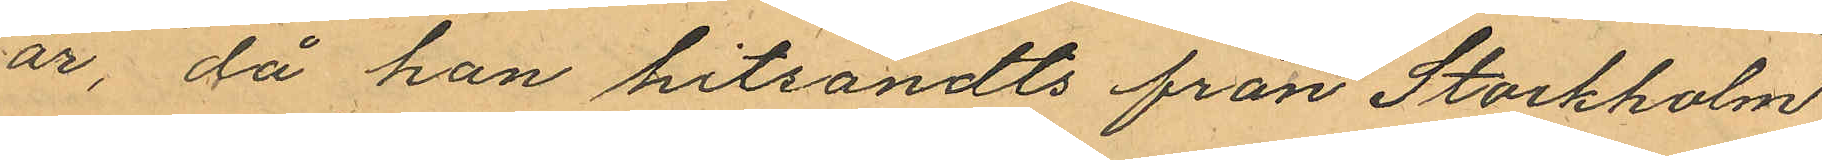år, då han hitsändts från Stockholm
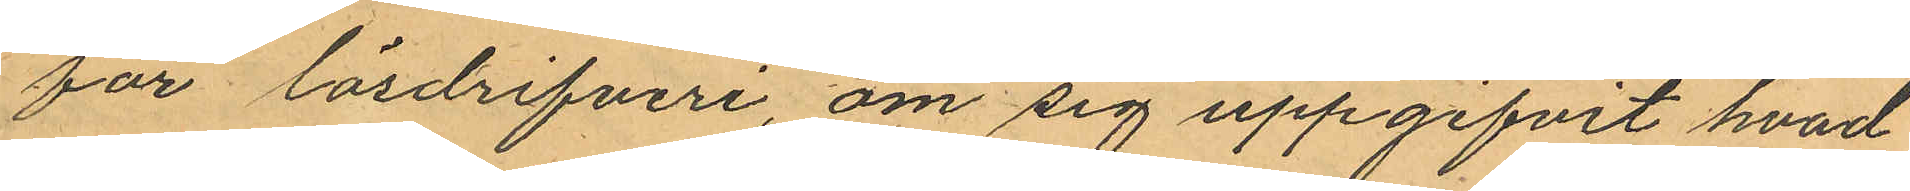för lösdrifveri, om sig uppgifvit hvad
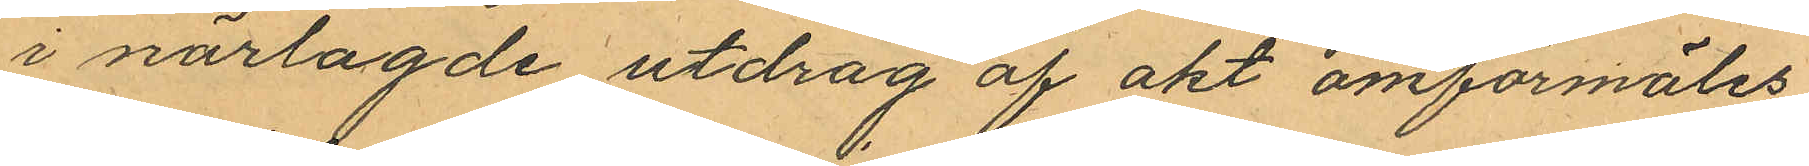i närlagde utdrag af akt omförmäles
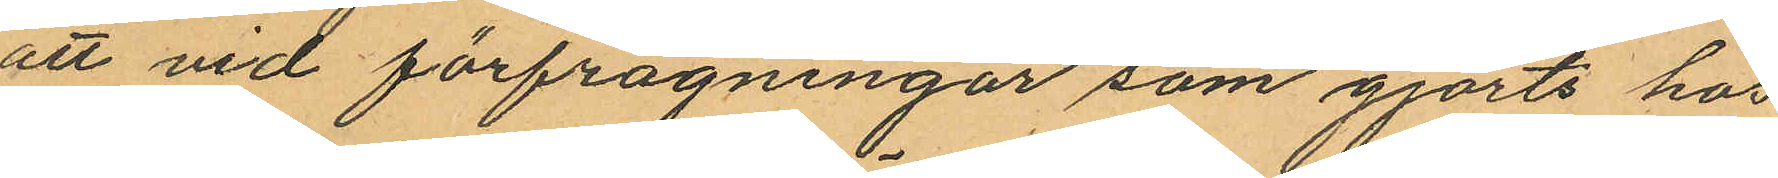att vid förfrågningar som gjorts hos
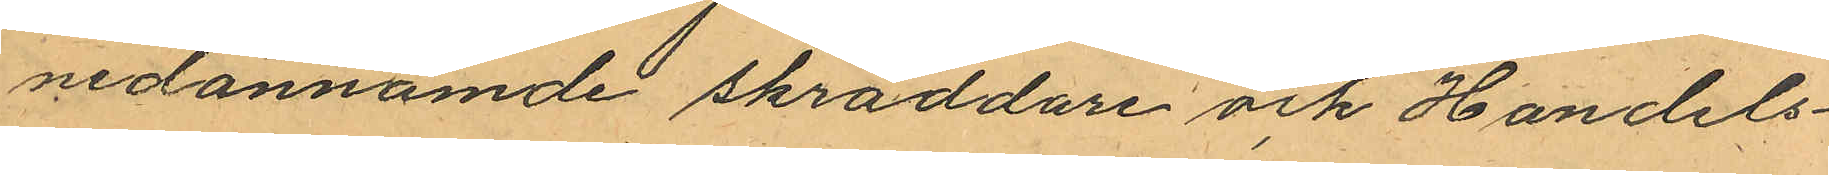nedannämde skräddare och Handels¬
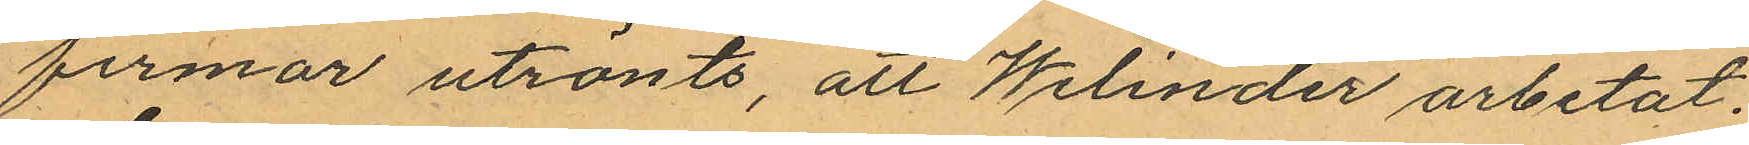firmor utrönts, att Welinder arbetat
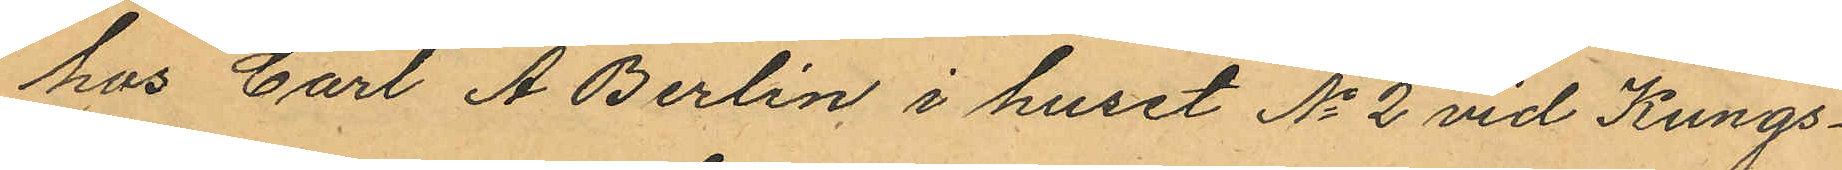hos Carl A Berlin i huset No 2 vid Kungs¬
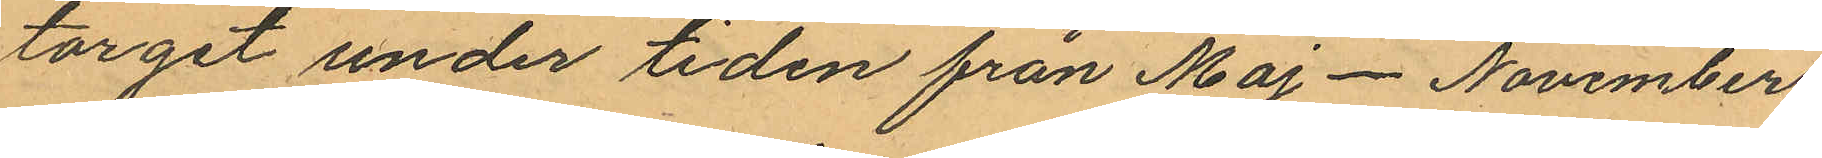torget under tiden från Maj - November
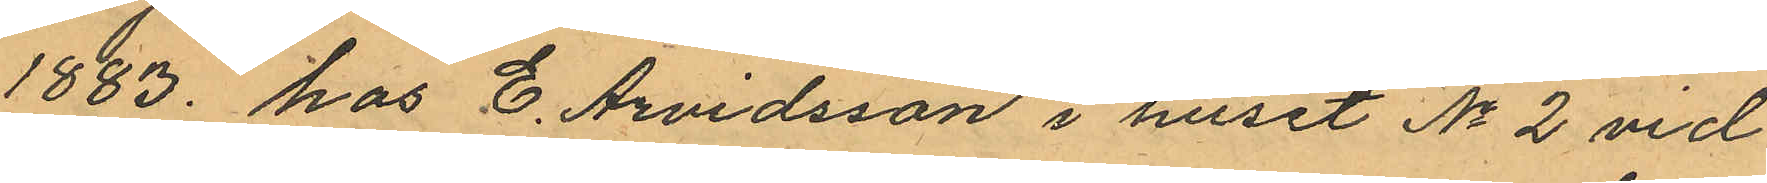1883. hos E. Arvidsson i huset No 2 vid
